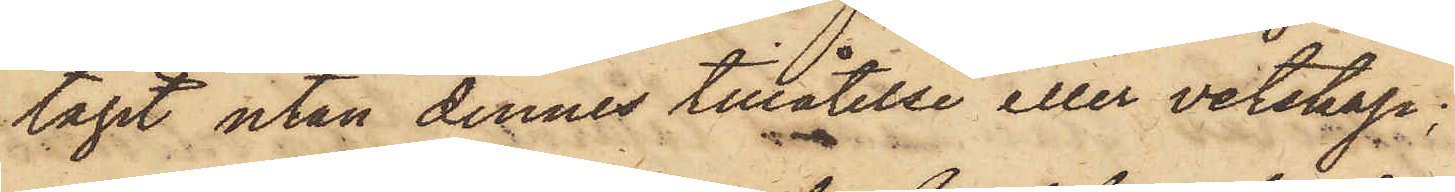tagit utan dennes tillåtelse eller vetskap;
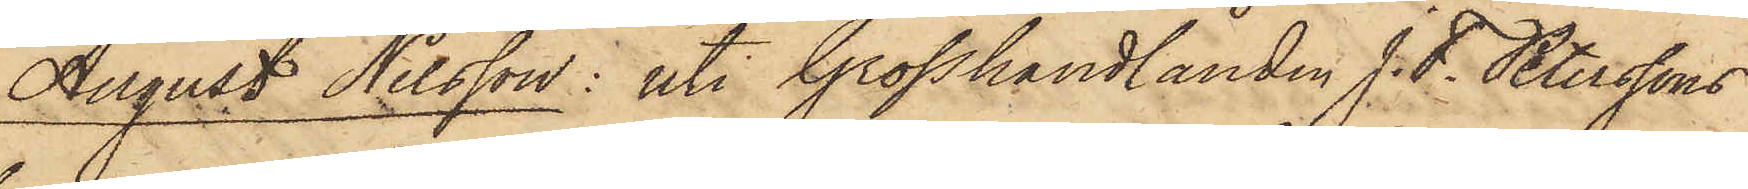August Nilsson: uti Grosshandlanden J. F. Peterssons
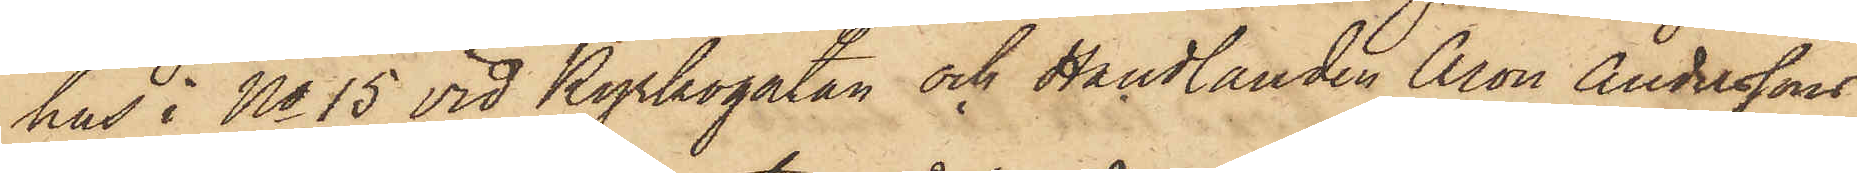hus i No 15 vid Kyrkogatan och Handlanden Aron Anderssons
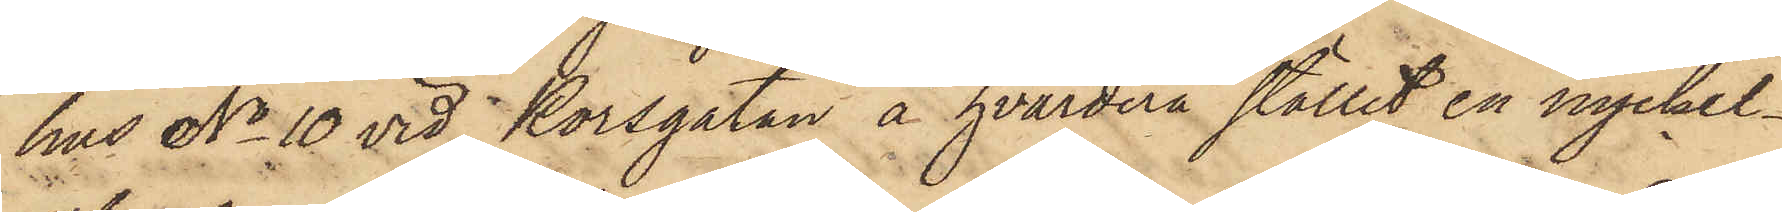hus No 10 vid Korsgatan å hvardera stället en nyckel¬
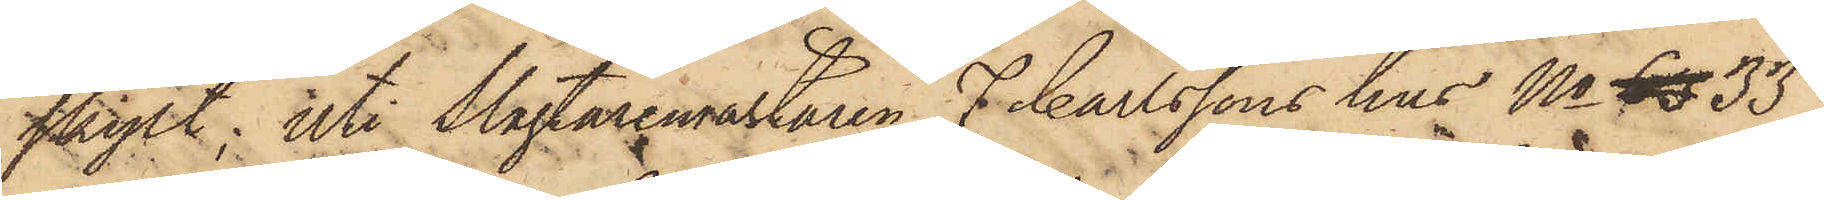skylt; uti Slagtaremästaren F. Carlssons hus No 63 33
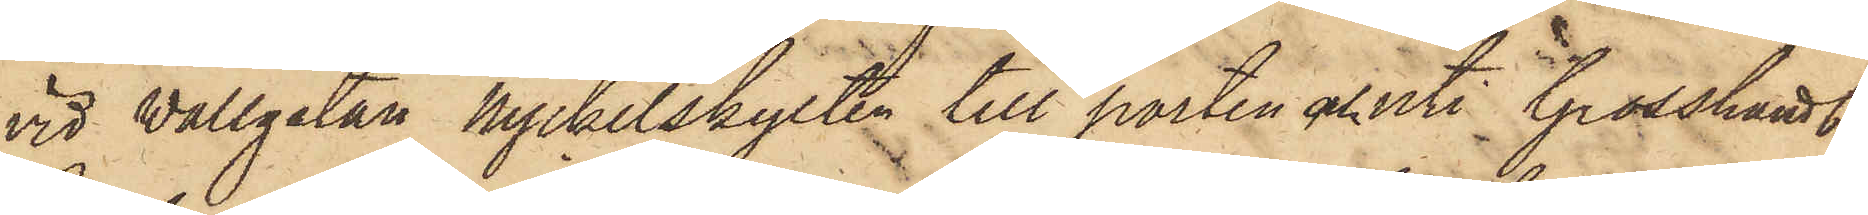vid Wallgatan nyckelskylten till porten och uti Grosshandl.
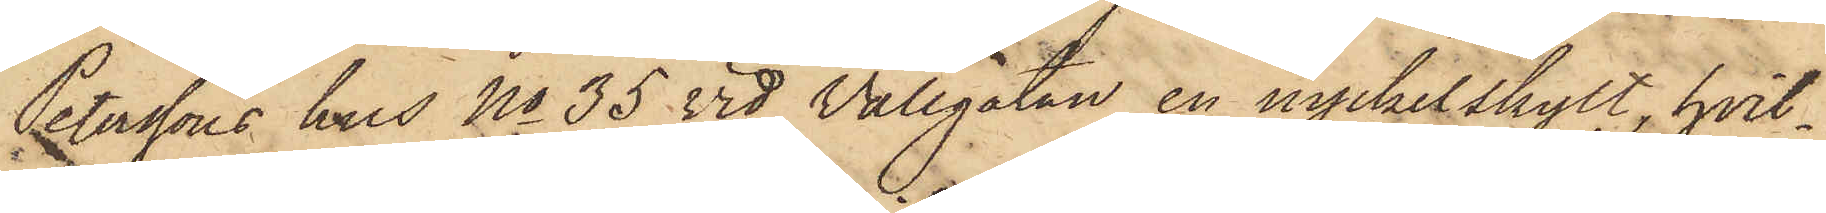Peterssons hus No 35 vid Vallgatan en nyckelskylt, hvil¬
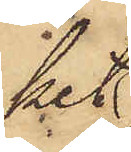ket
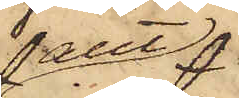allt
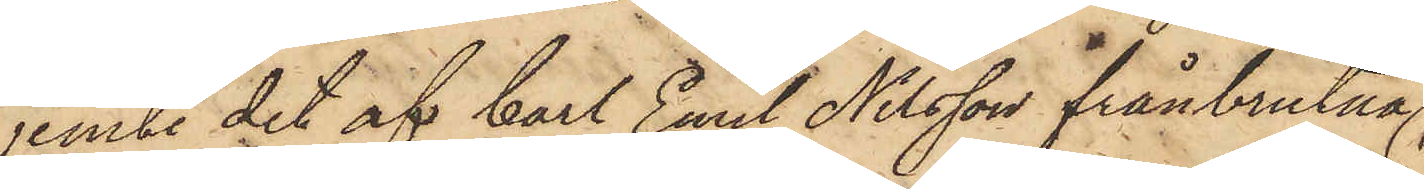jemte det af Carl Emil Nilsson frånbrutna
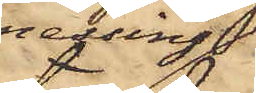messing,
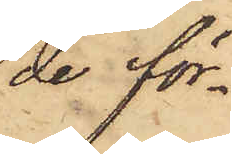de för¬
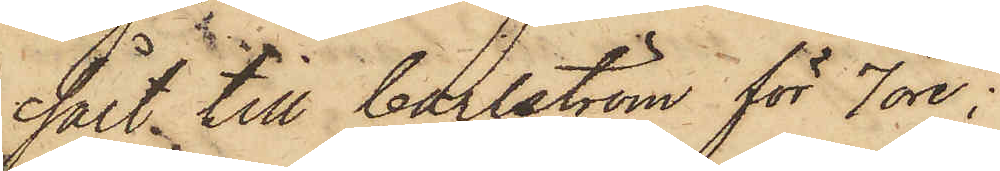sålt till Carlström för 7 öre;
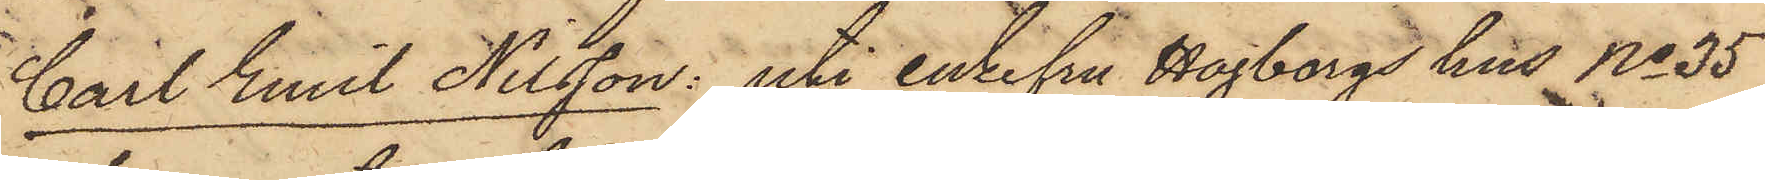Carl Emil Nilsson: uti enkefru Hagborgs hus No 35
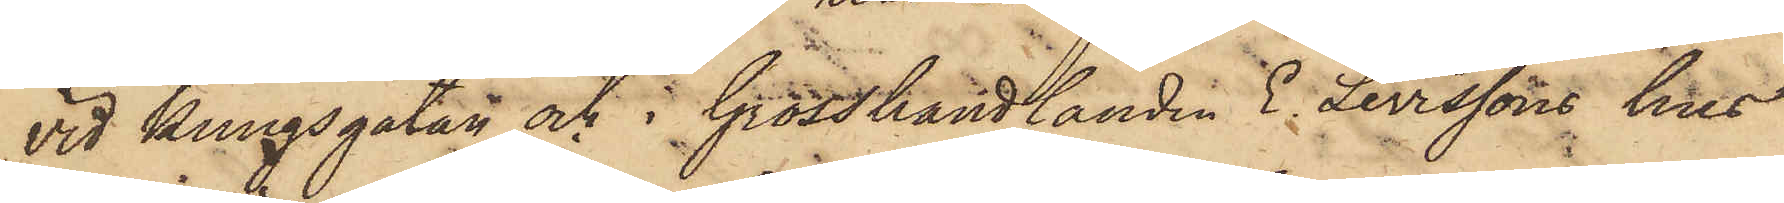vid Kungsgatan och i Grosshandlanden E. Levissons hus
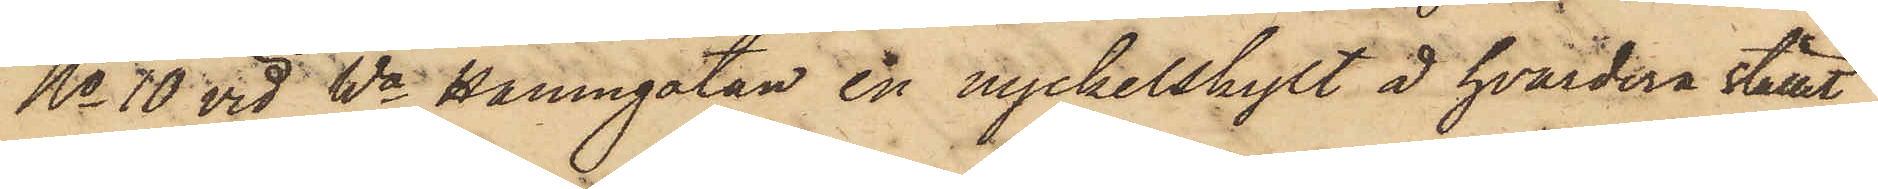No 10 vid Wa Hamngatan en nyckelskylt å hvardera stället
